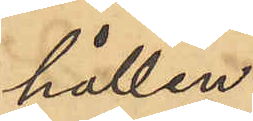hållen.
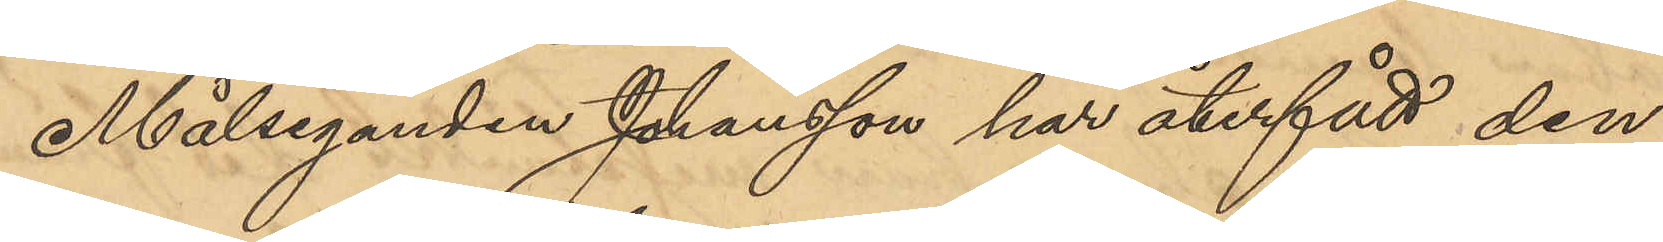Målseganden Johansson har återfått den
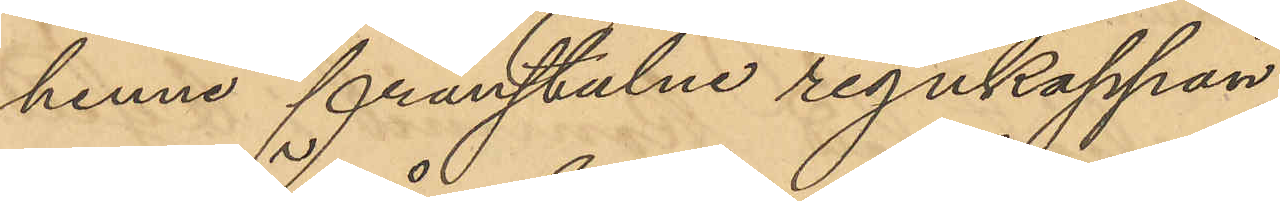henne frånstulne regnkappan.
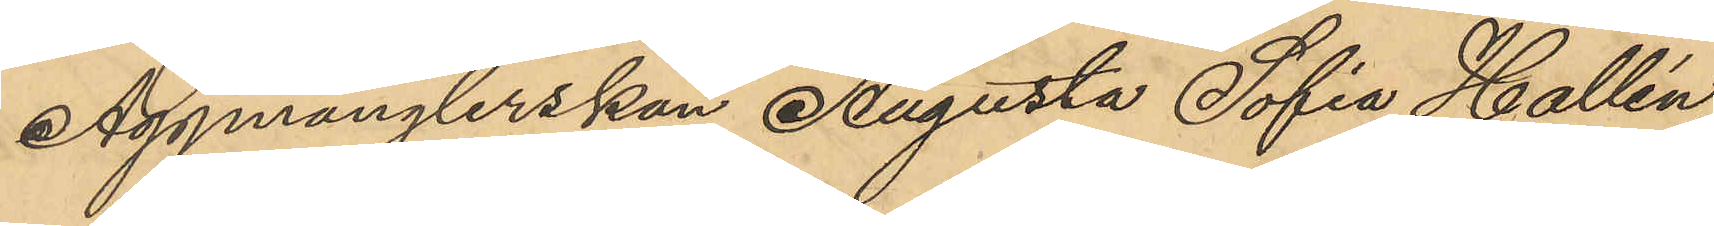Äggmånglerskan Augusta Sofia Hallén,
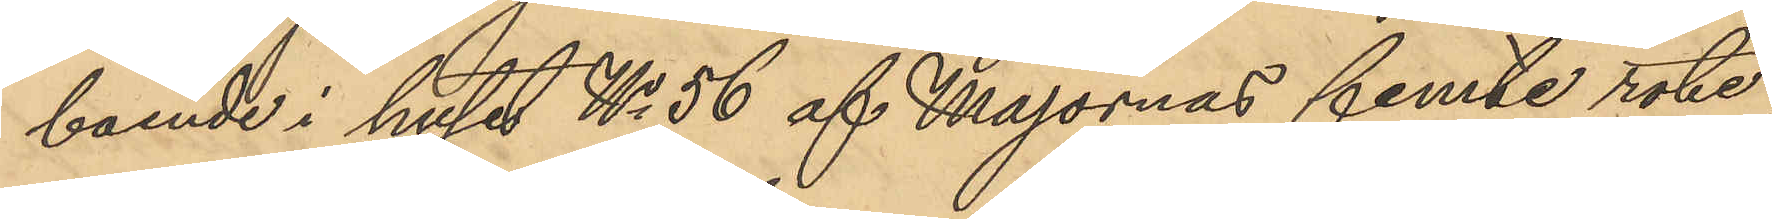boende i huset No 56 af Majornas femte rote,
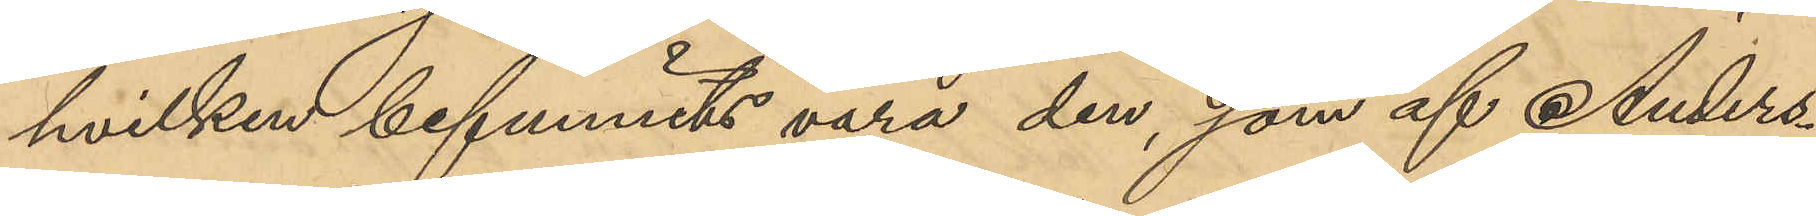hvilken befunnits vara den, som af Anders¬
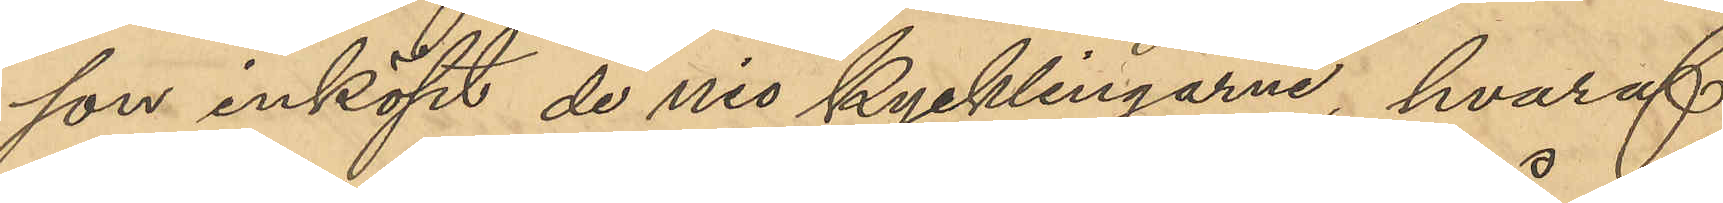son inköpt de nio kycklingarne, hvaraf
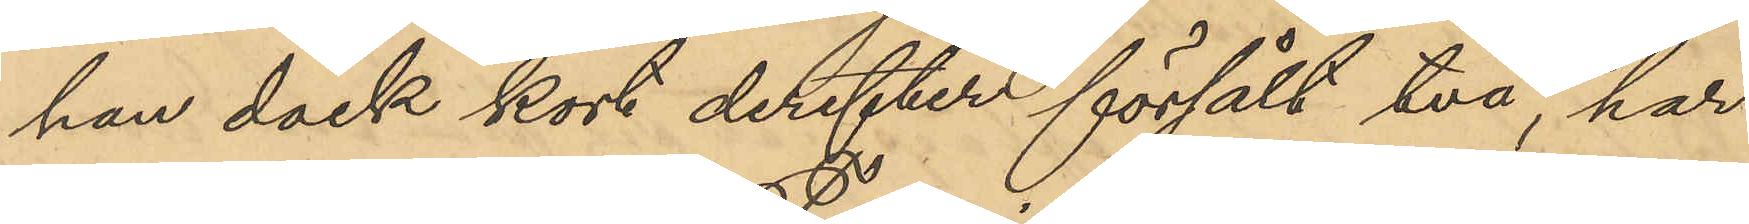han dock kort derefter försålt två, har
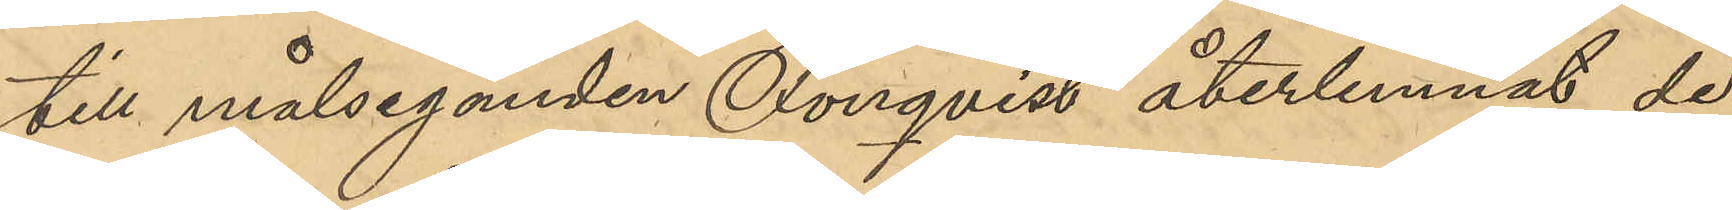till målseganden Fonqvist återlemnat de
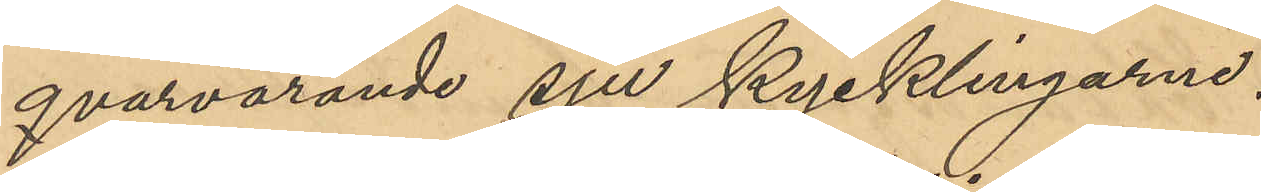qvarvarande sju kycklingarne.
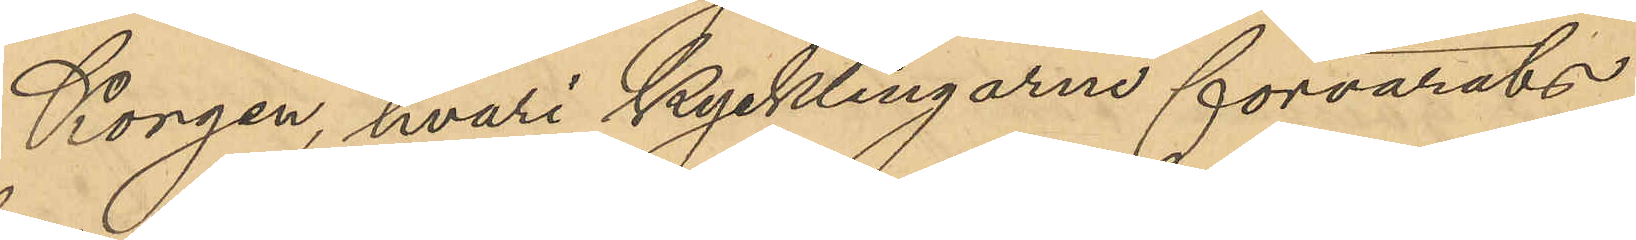Korgen hvari kycklingarna förvarats
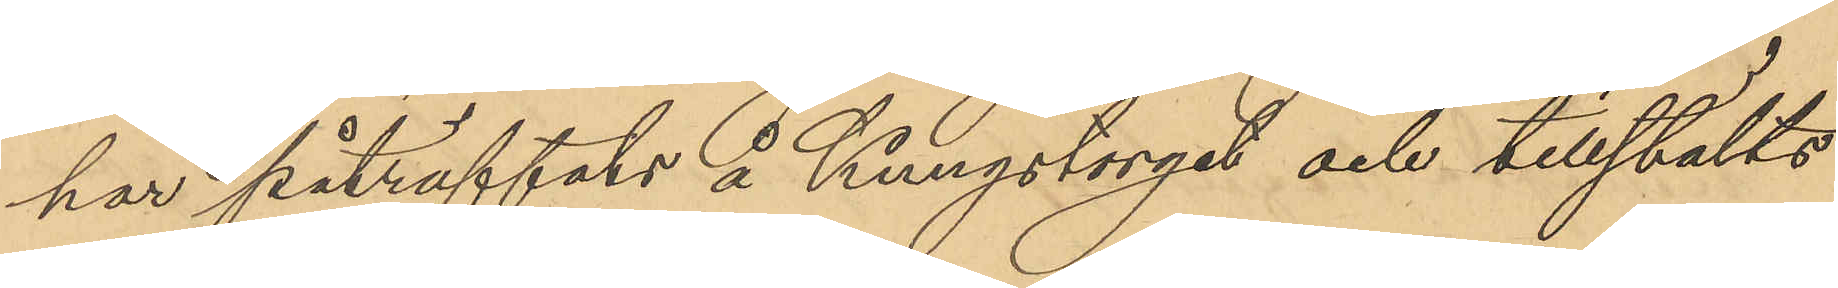har påträffats å Kungstorget och tillställts
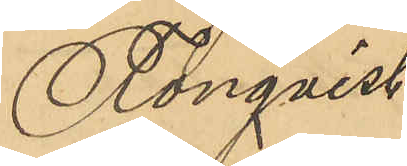Fonqvist.
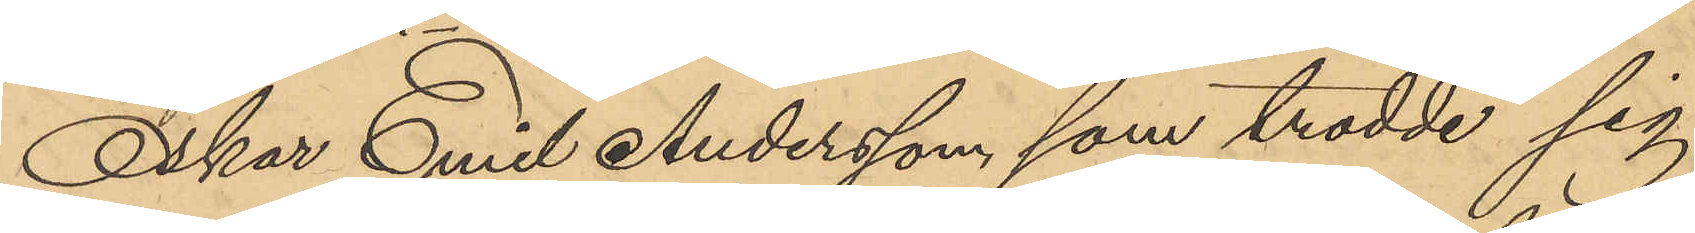Oskar Emil Andersson, som trodde sig
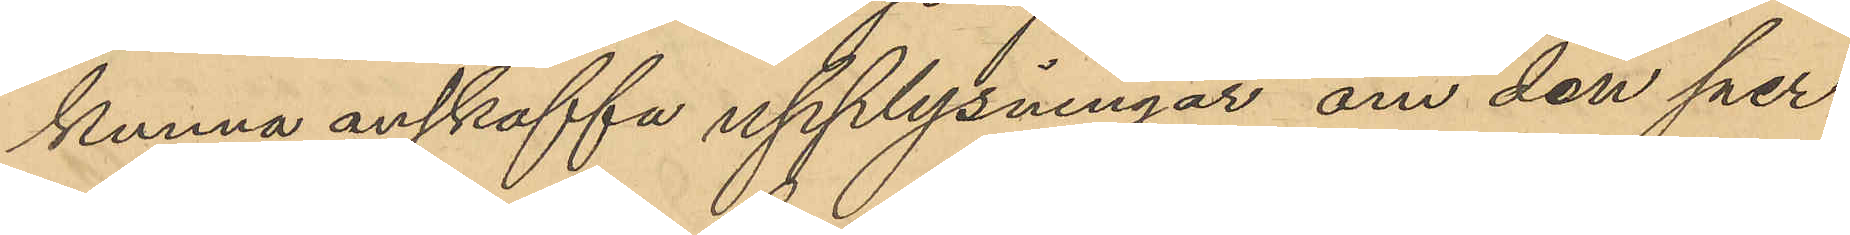kunna anskaffa upplysningar om den per¬
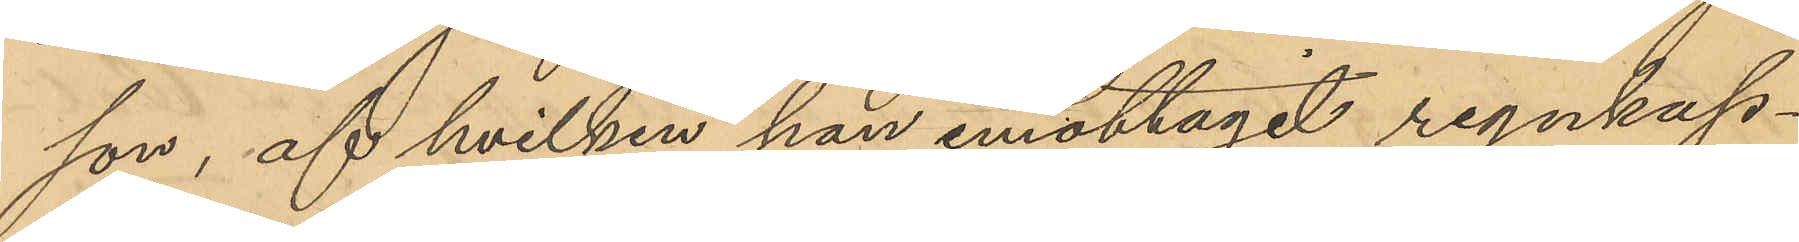son, af hvilken han emottagit regnkap¬
